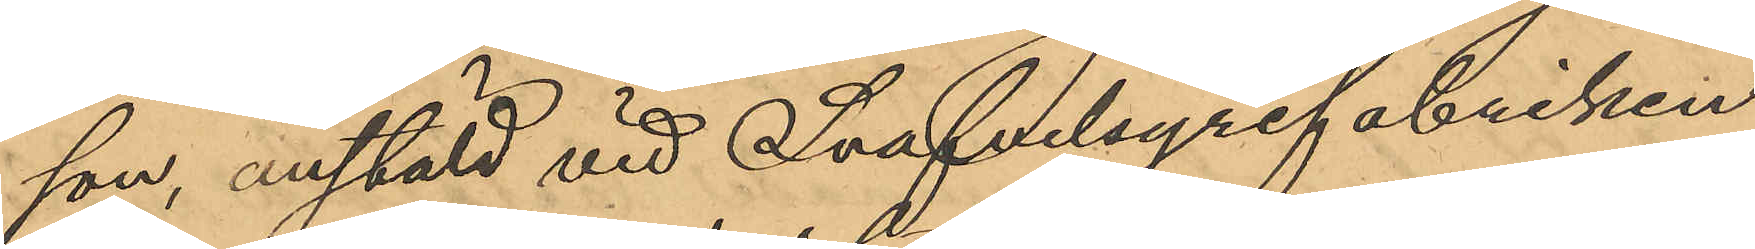son, anstäld vid Svafvelsyrefabriken
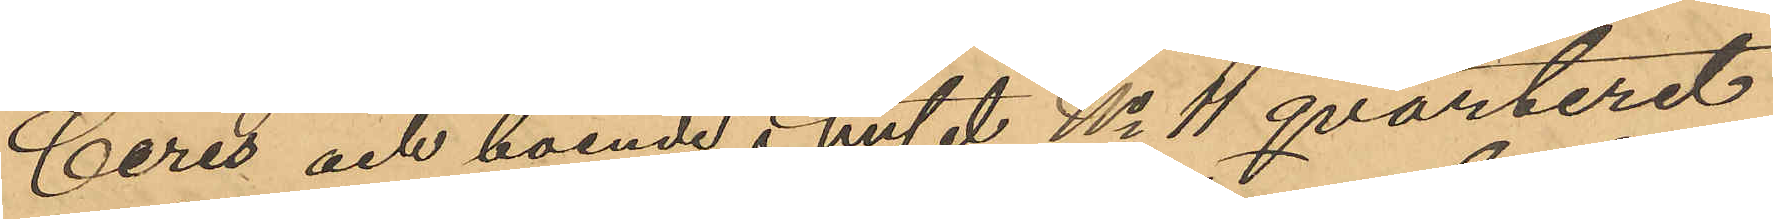Ceres och boende i huset No 4 qvarteret
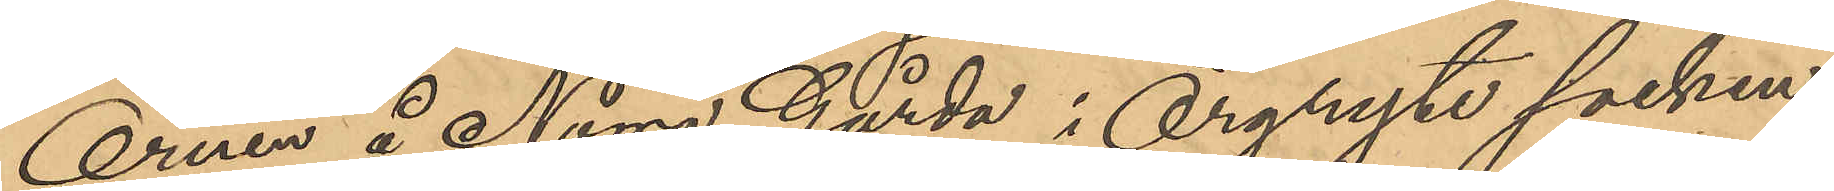Örnen å Norra Gårda i Örgryte socken;
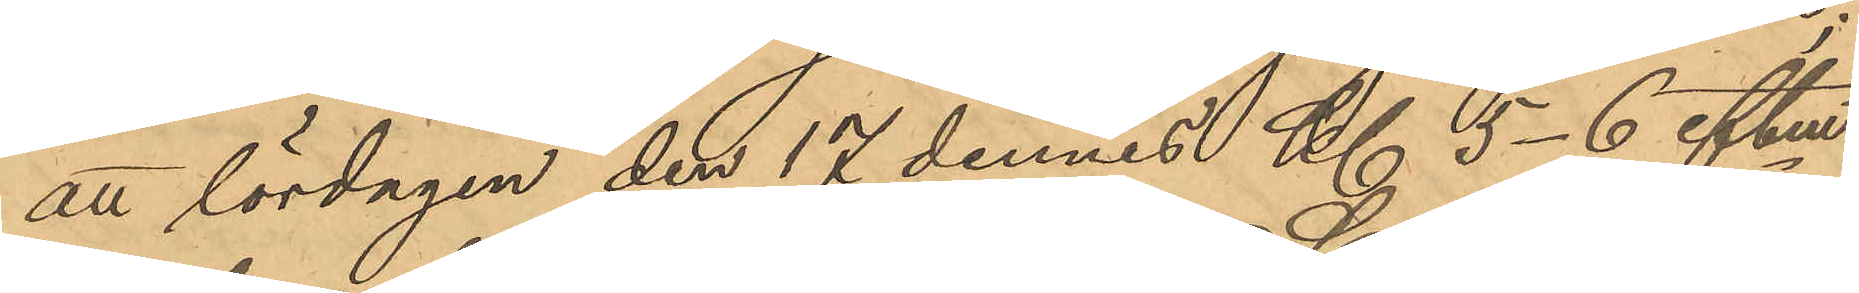att lördagen den 17 dennes Kl 5-6 eftm
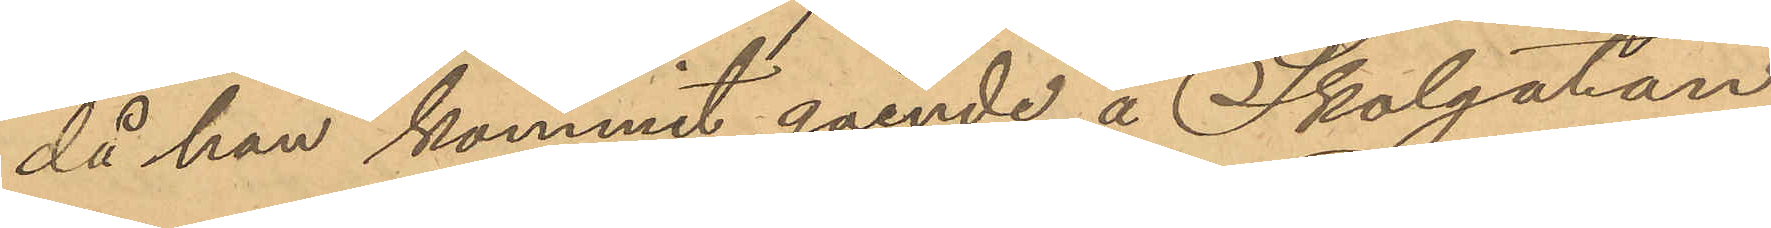då han kommit gående å Skolgatan
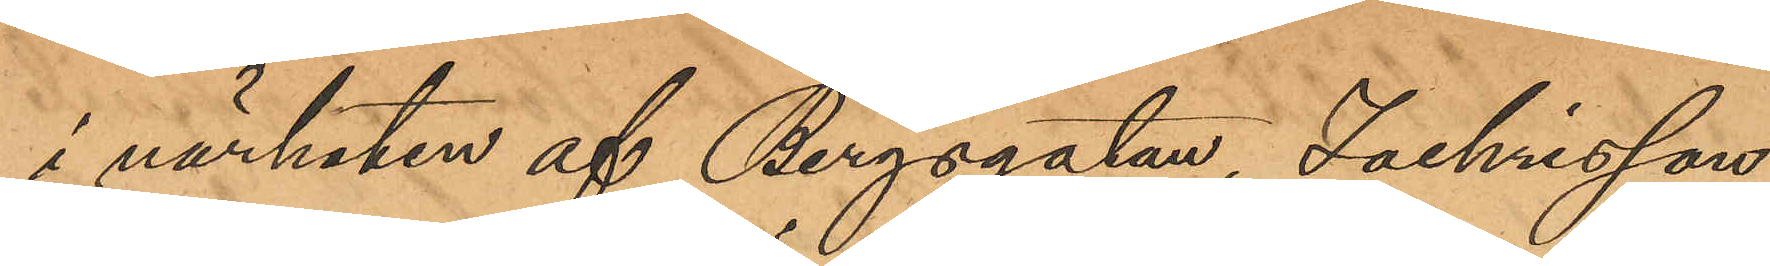i närhaten af Bergsgatan, Zachrisson,
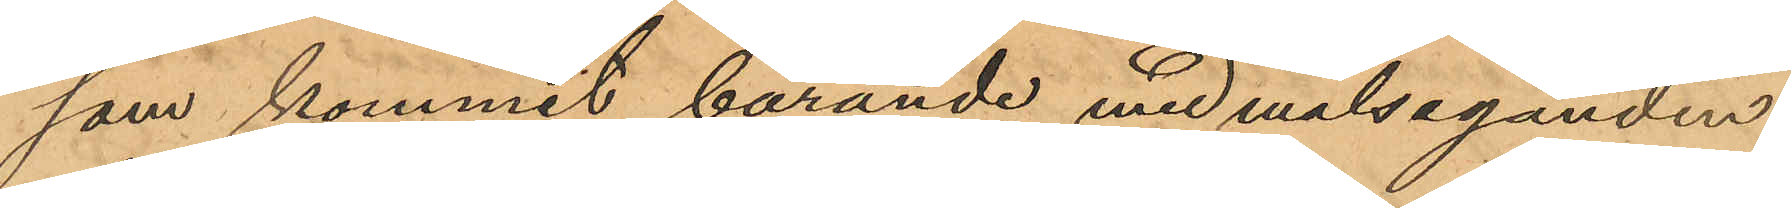som kommit bärande med målseganden
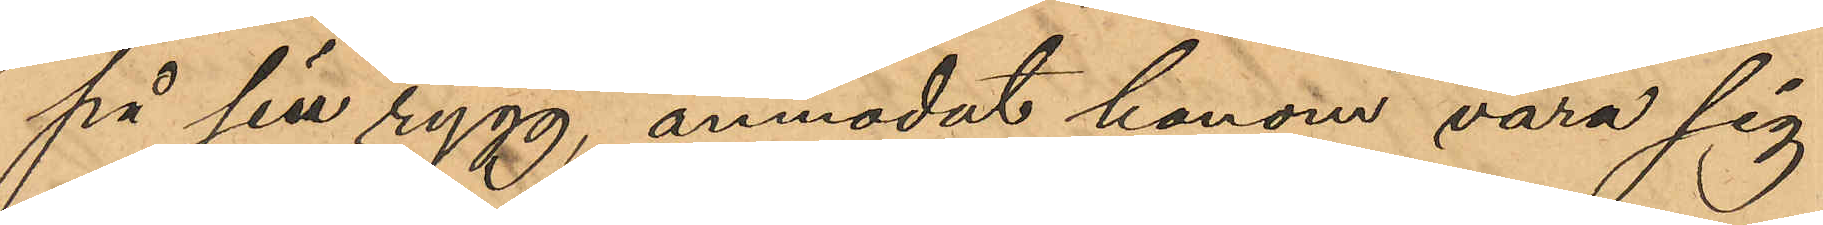på sin rygg, anmodat honom vara sig
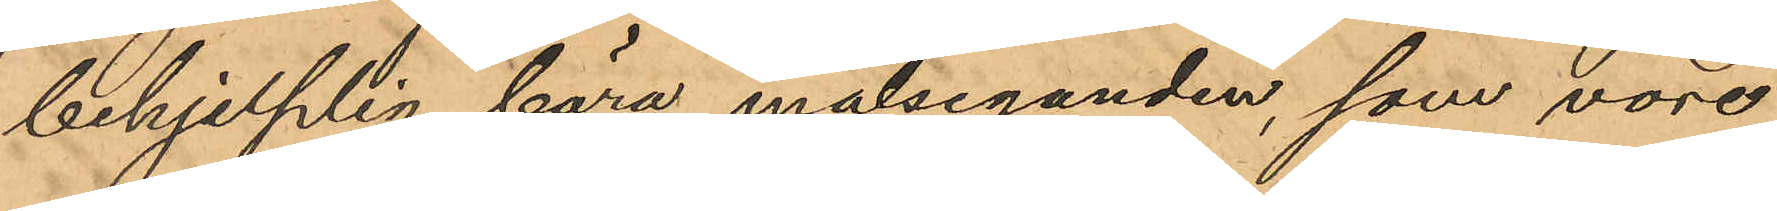behjelplig bära målseganden, som vore
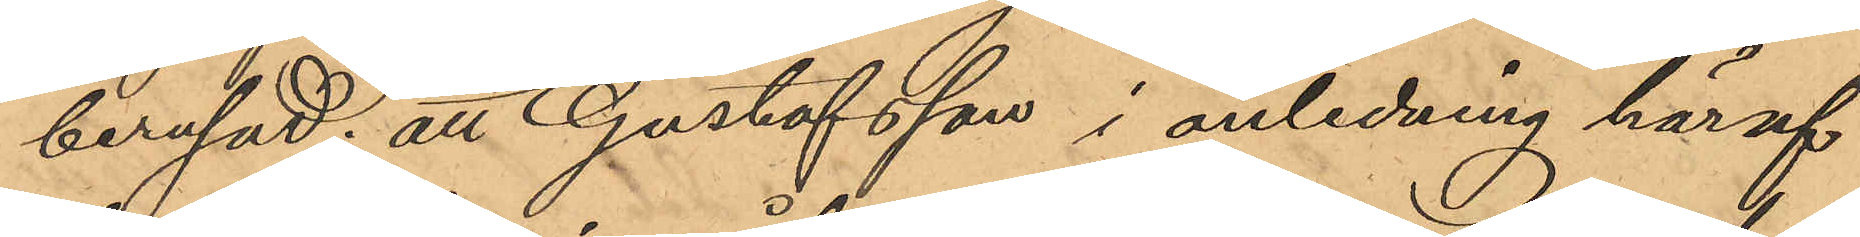berusad; att Gustafsson i anledning häraf
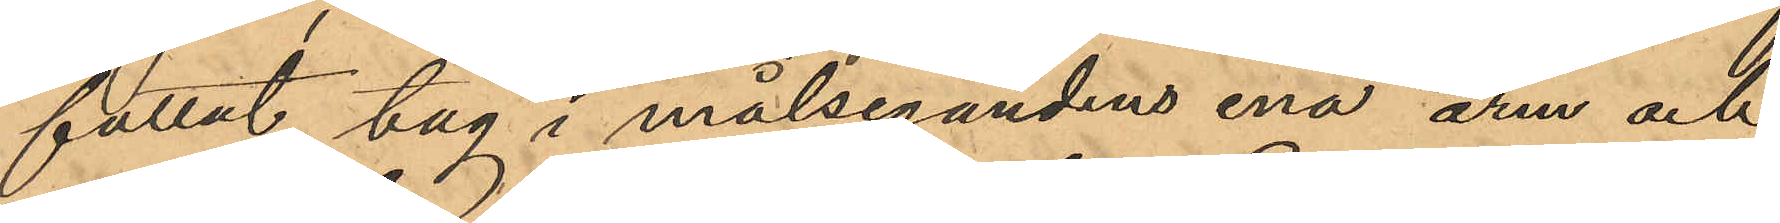fattat tag i målsegandens ena arm och
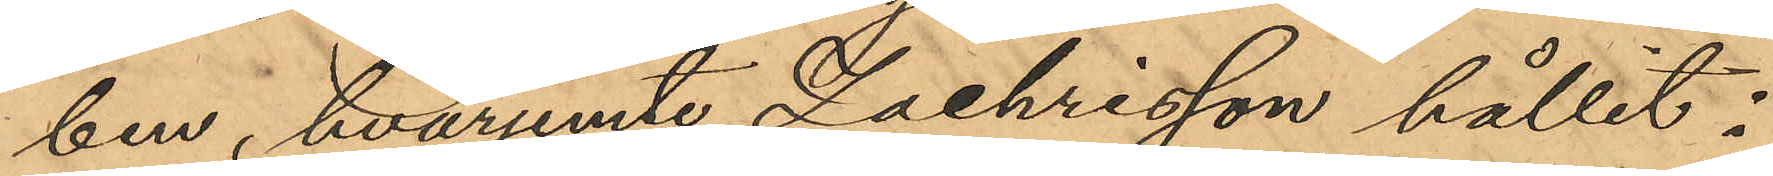ben, hvarjemte Zachrisson hållit i
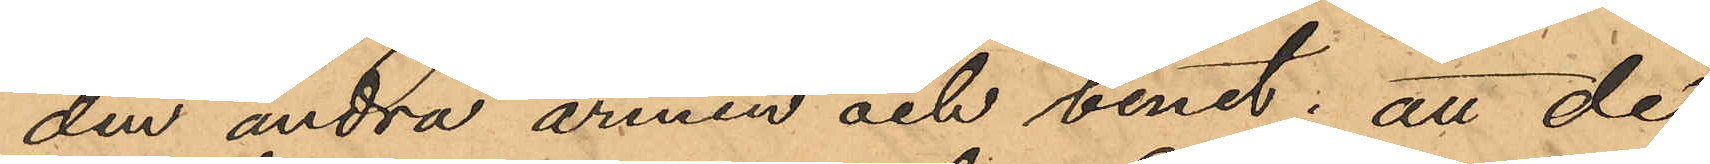den andra arnen och benet; att de
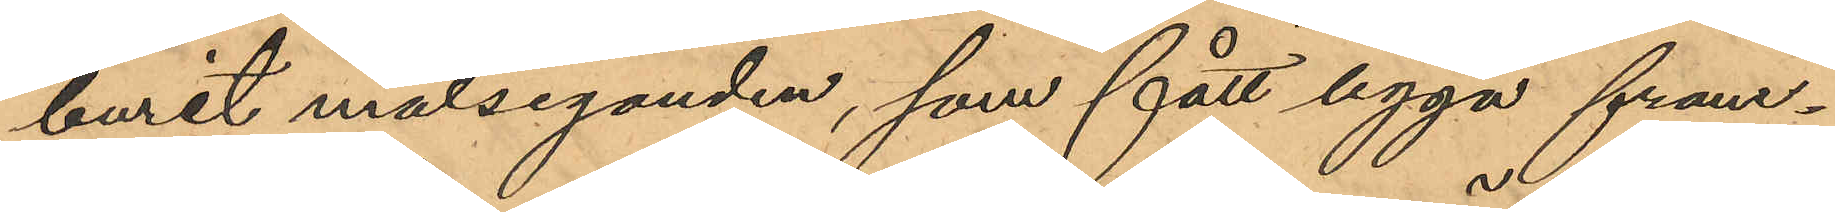burit målseganden, som fått ligga fram¬
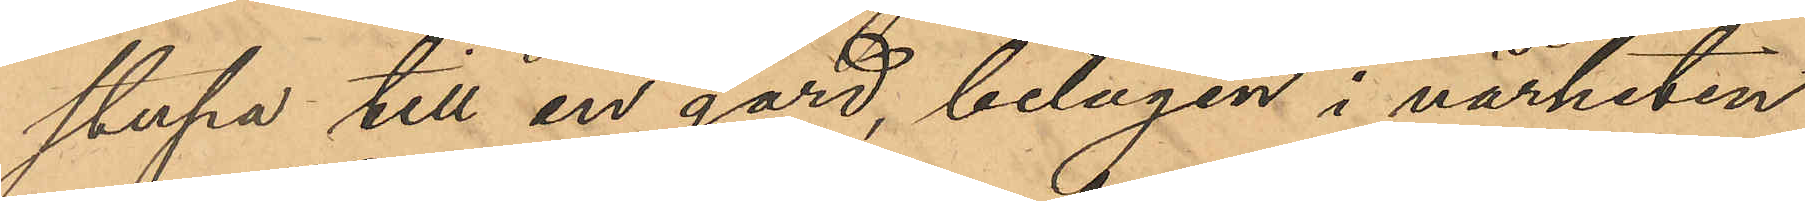stupa till en gård, belägen i närheten
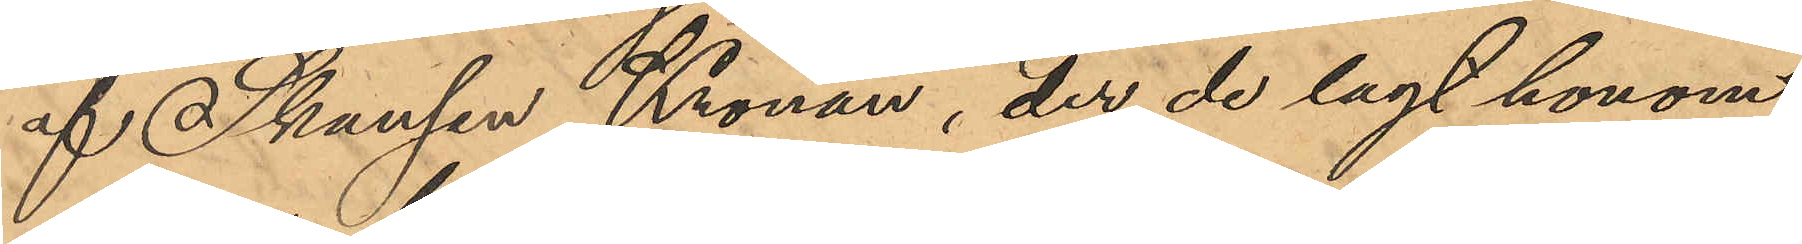af Skansen Kronan, der de lagt honom
